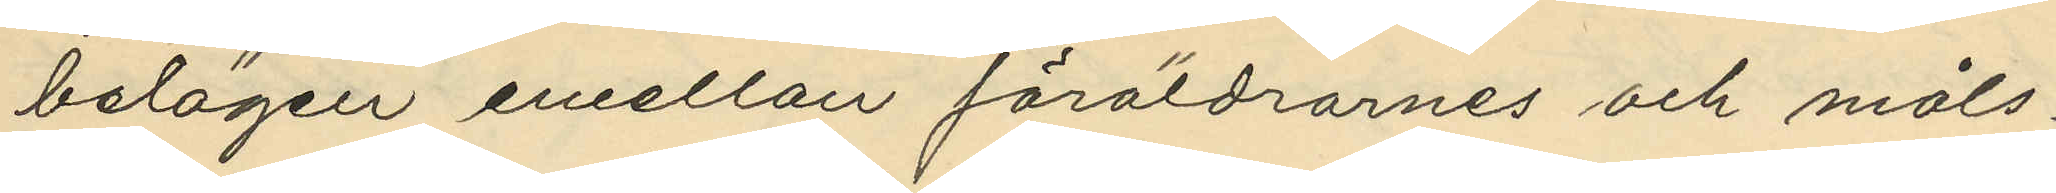belägen emellan föräldrarnes och måls¬
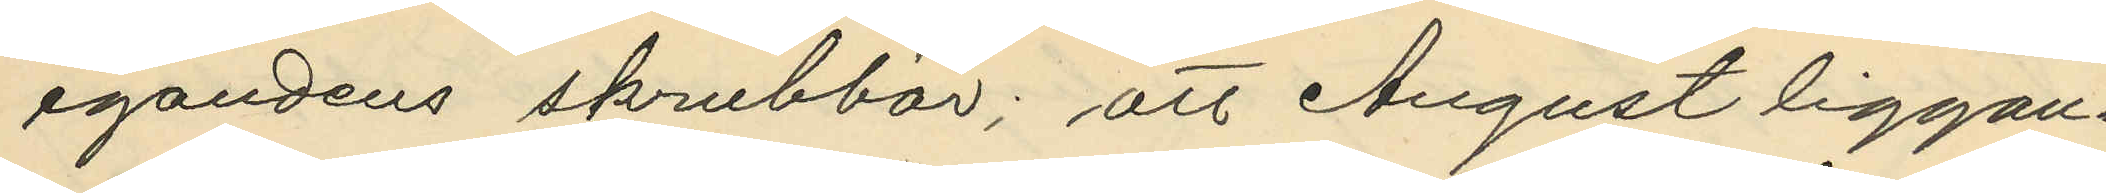egandens skrubbar; att August liggan¬
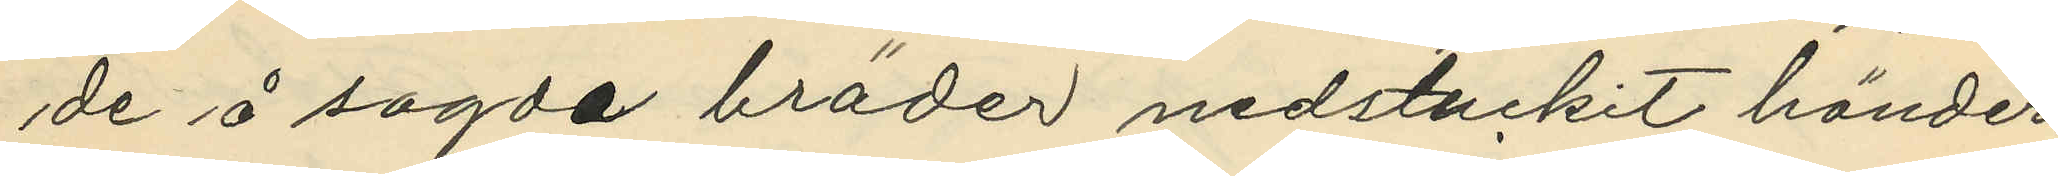de å sagda bräder nedstuckit händer¬
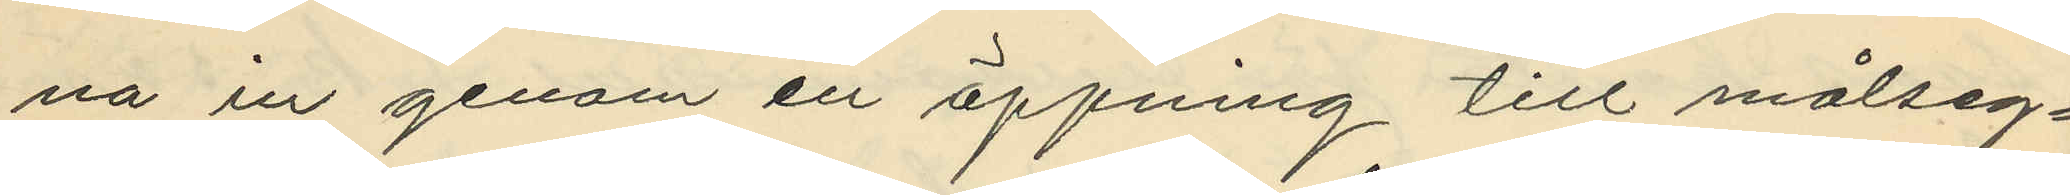na in genom en öppning till målseg¬
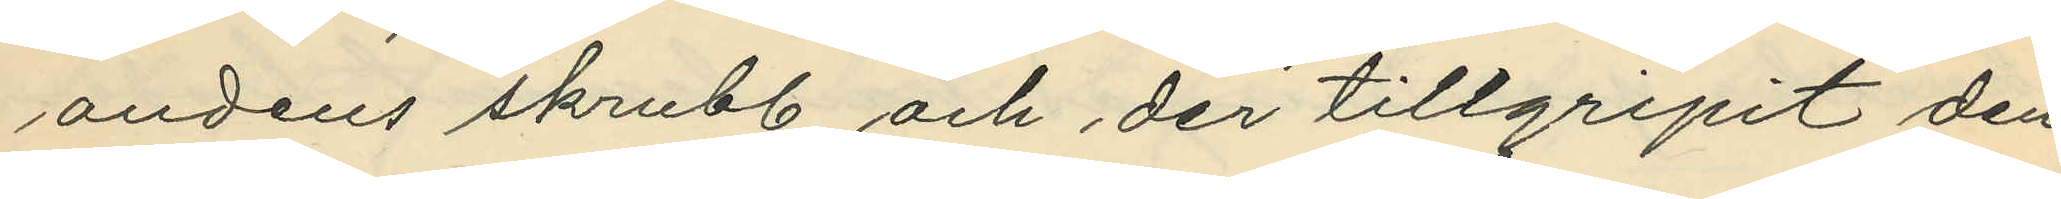andens skrubb och der tillgripit den
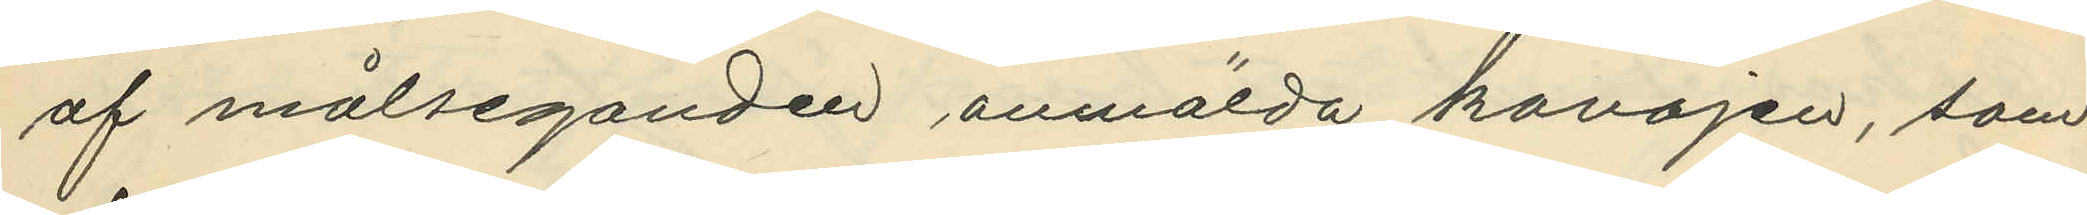af målseganden anmälda kavajen, som
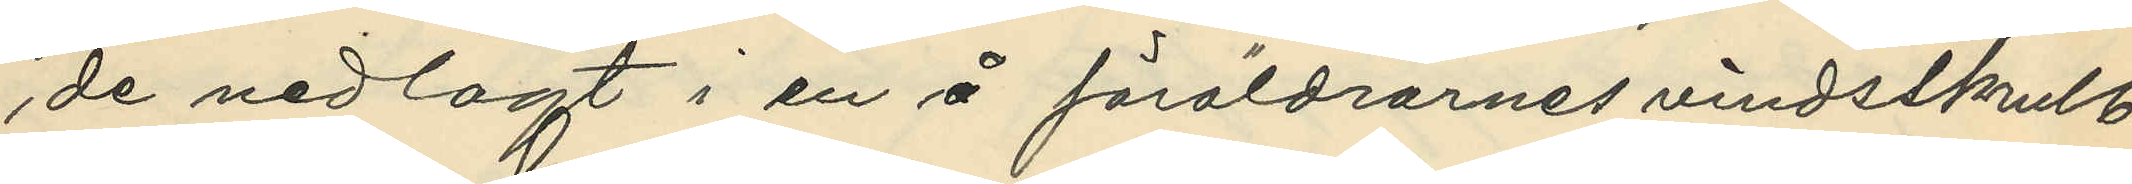de nedlagt i en å föräldrarnes vindsskrulb
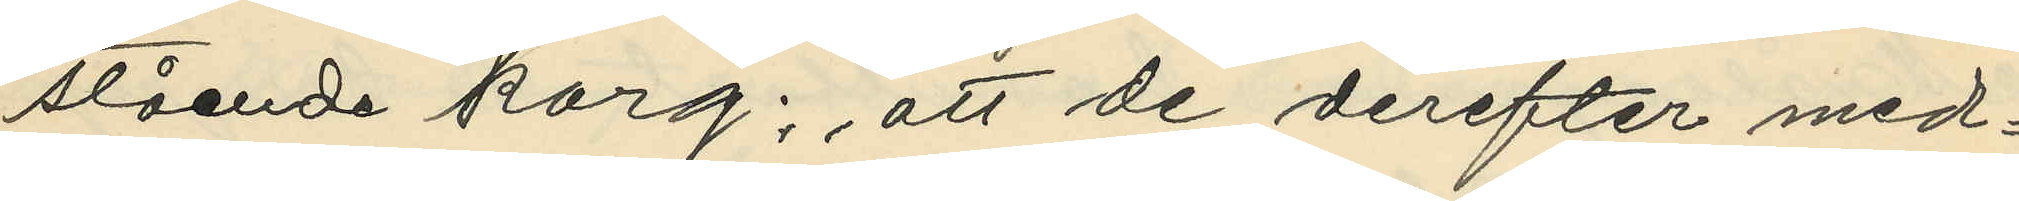stående korg; att de derefter med¬
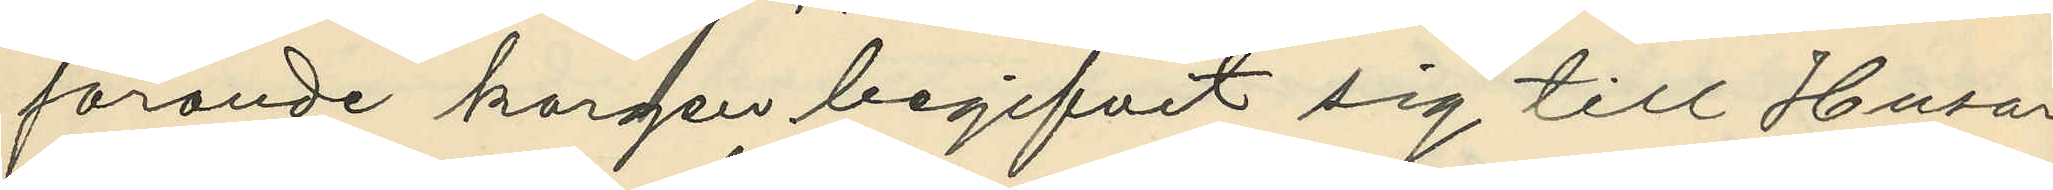förande korgen begifvit sig till Husar¬
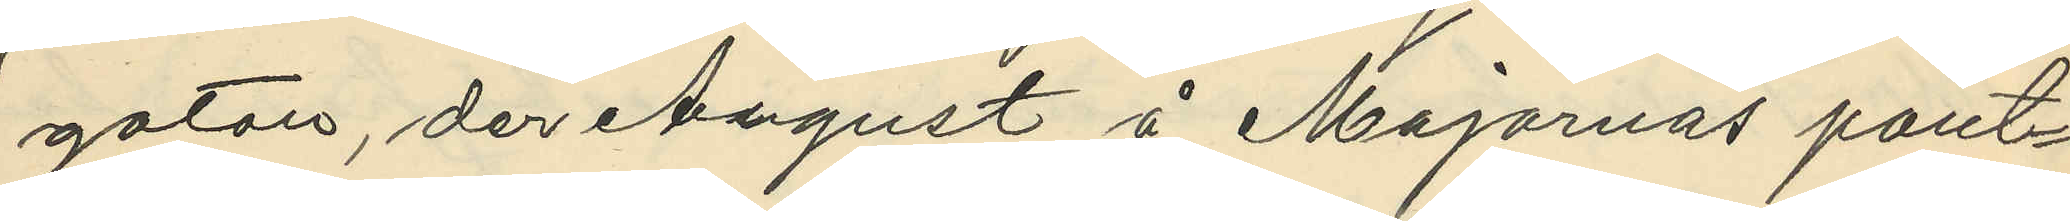gatan, der August å Majornas pant¬
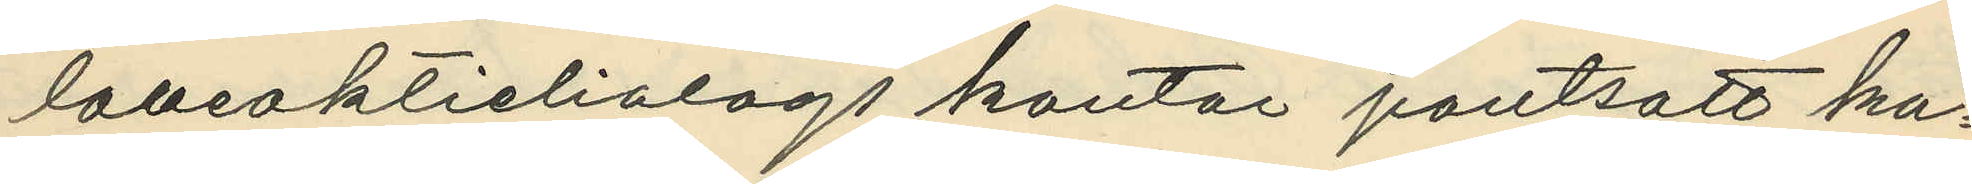laneaktieliolags kontor pantsatt ka¬
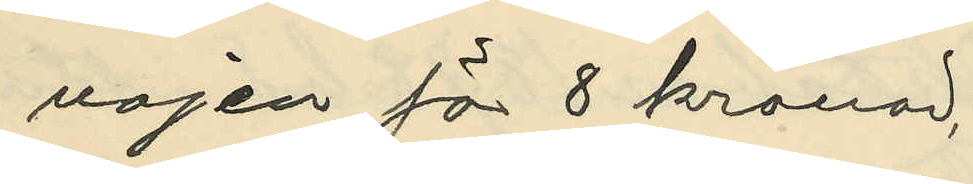vajen för 8 kronor;
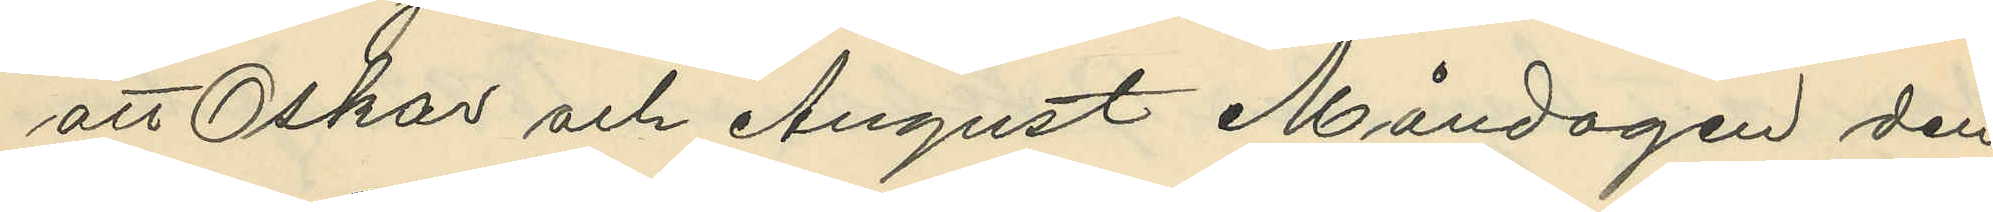att Oskar och August Måndagen den
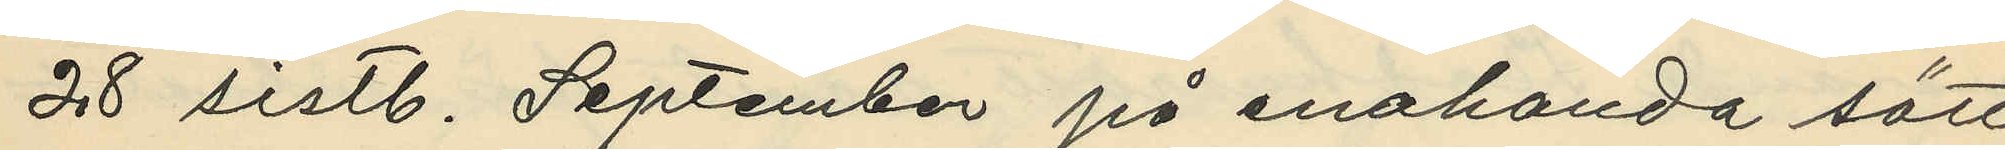28 sistl. September på enahanda sätt
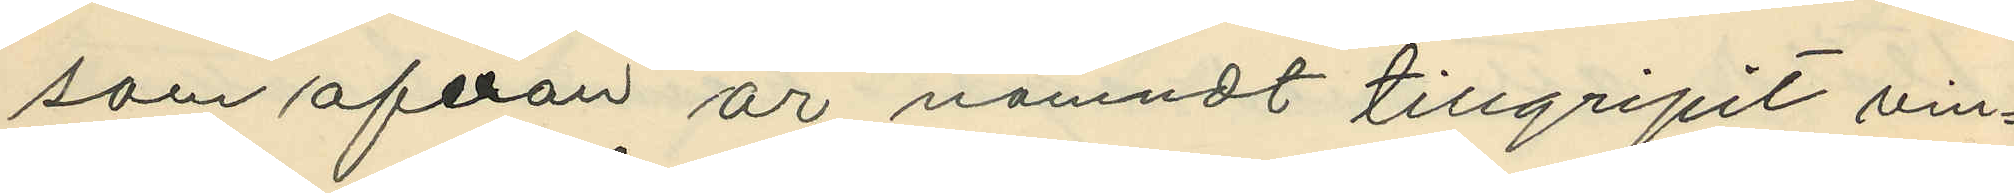som ofvan är nämndt tillgripit vin¬
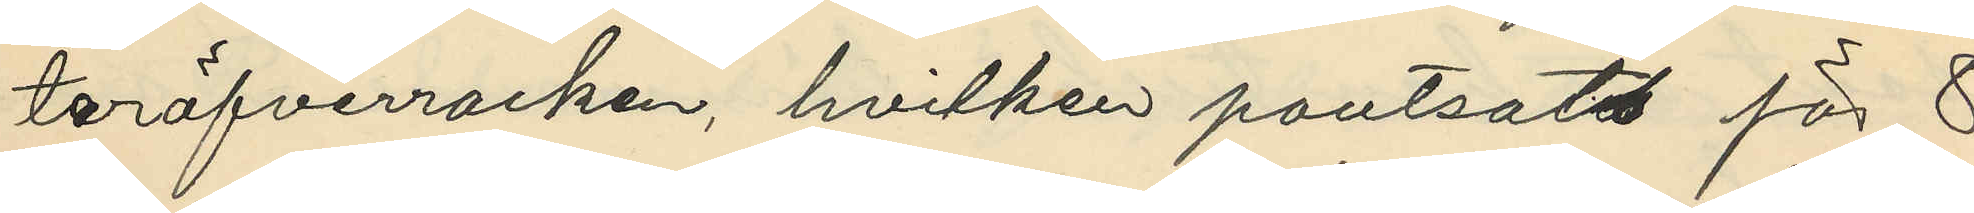teröfverrocken, hvilken pantsats för 8
